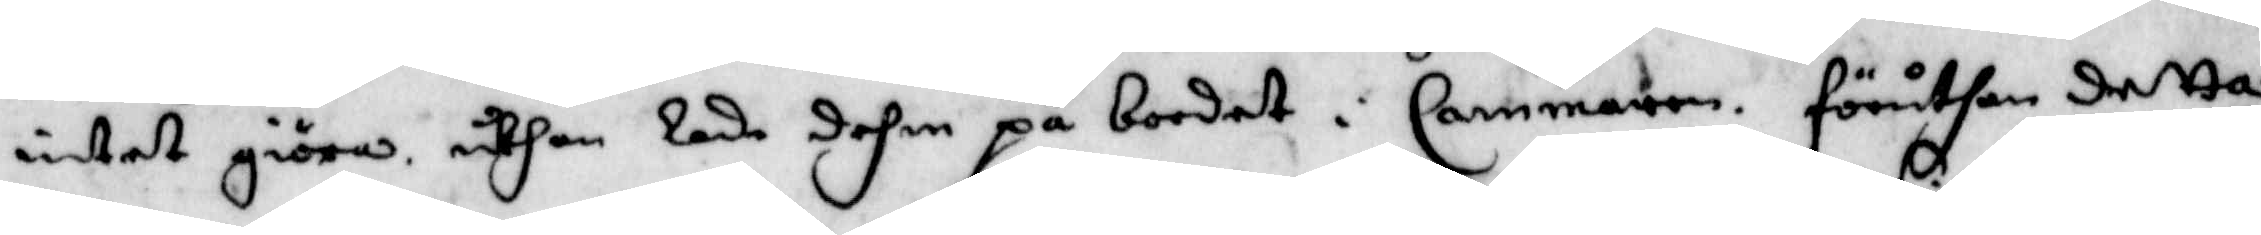intet giöras uthan Lade dehm på bordet i Cammaren. föruthan detta
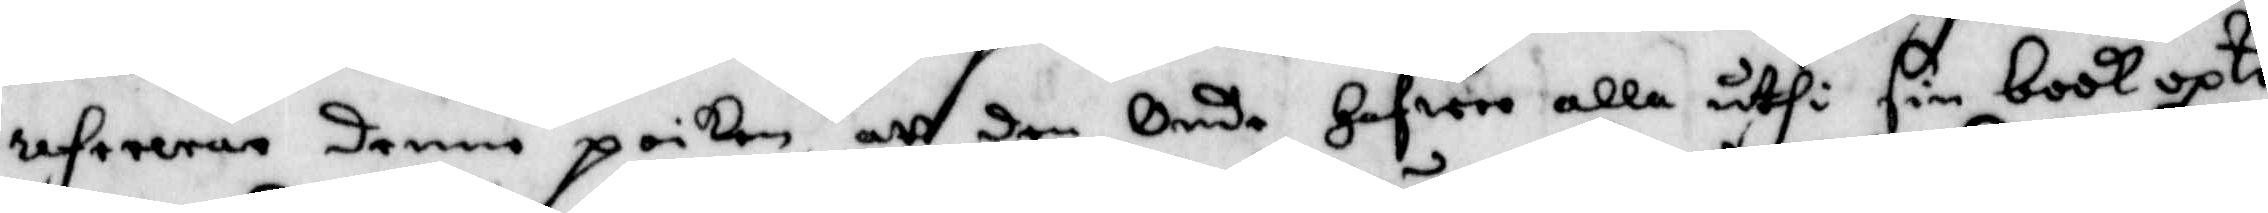refereras denne poiken att den Onde Hafwer alla uthi sin book upte¬
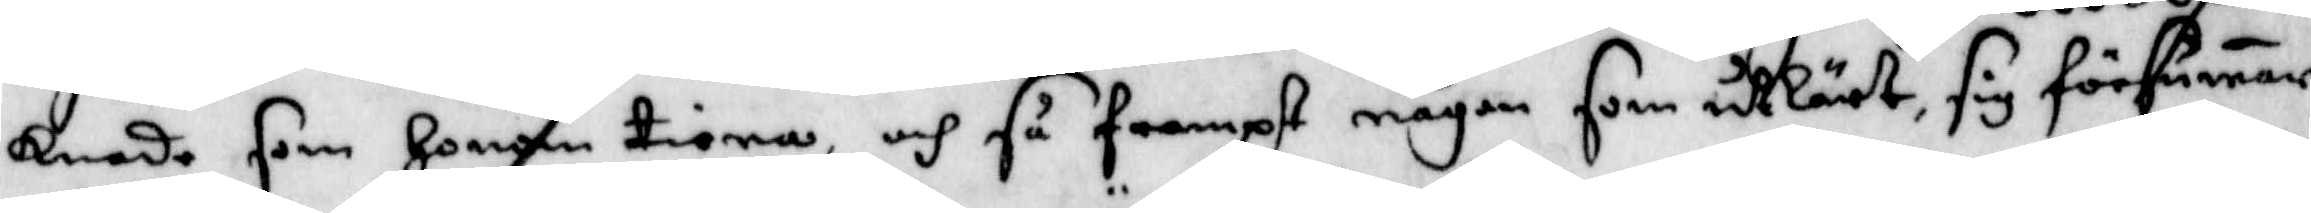knade som Honom tiena, och så frampt någon som utlärt sig försumar
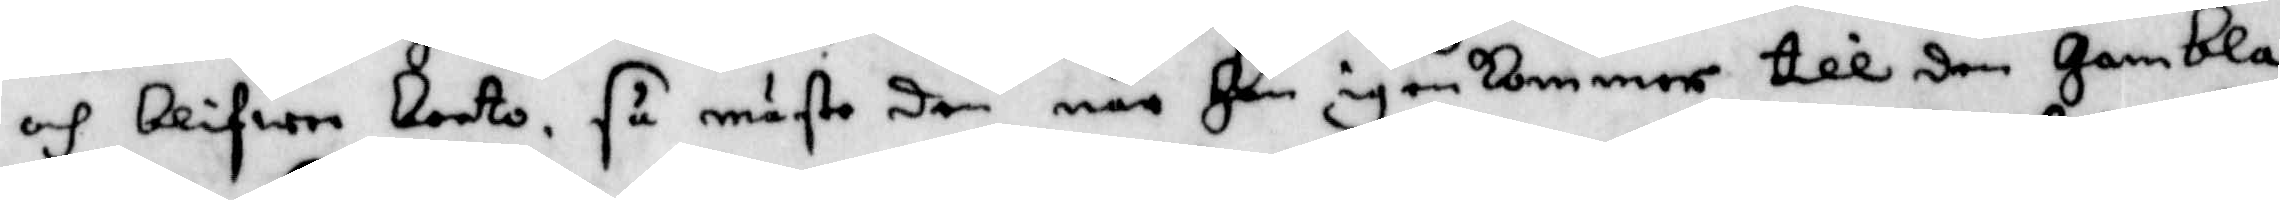och blifwer borto, så måste den när Han igenkommer till den Gamble
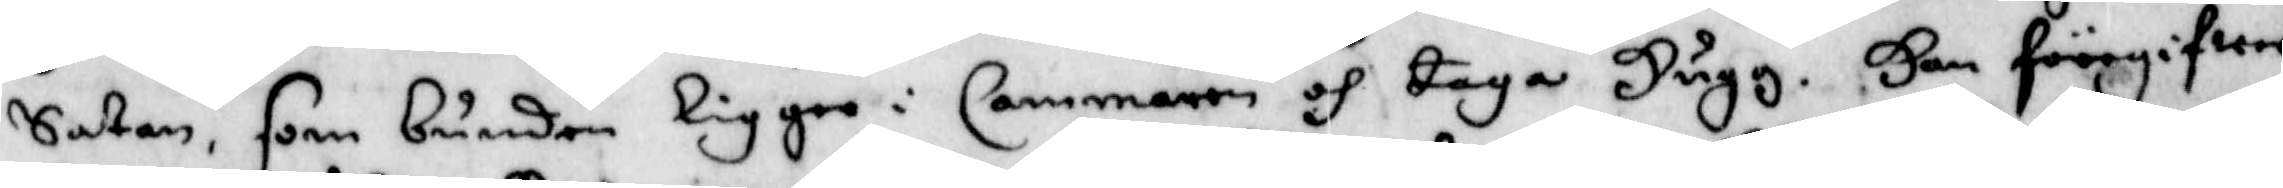Satan, som bunden ligger i Cammaren och taga Hugg. Han föörgifwer
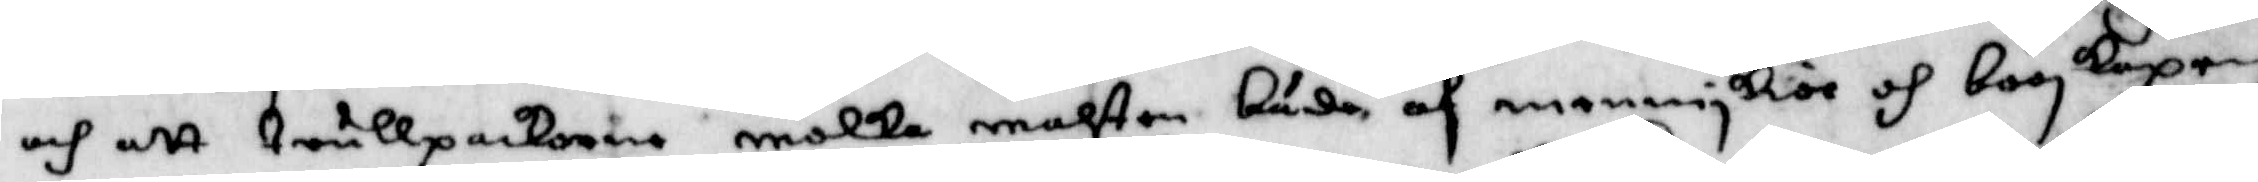och att trullpackorne molka musten både af menniskior och booskapen
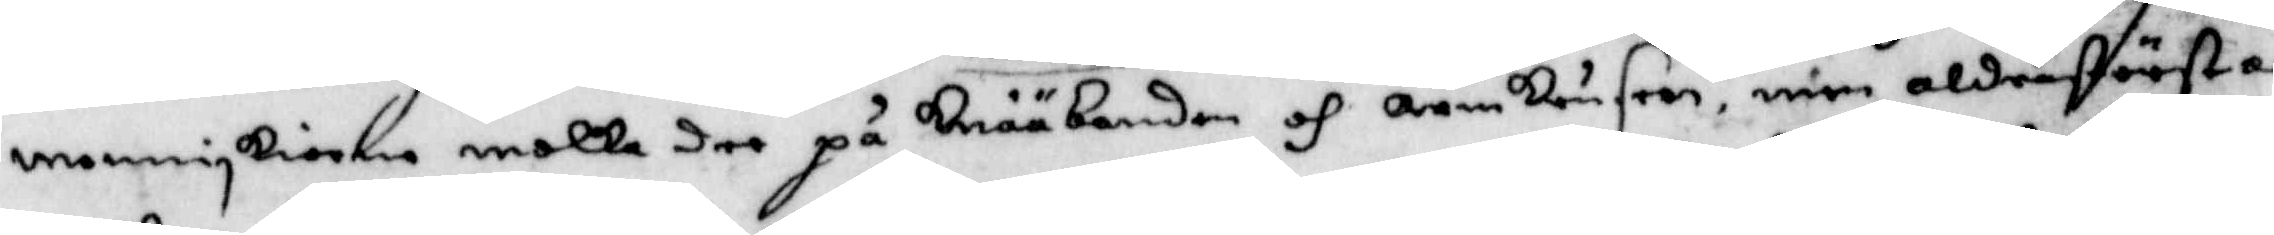menniskiorna molka dee på knääbanden och armkrusern, men aldrastörsta
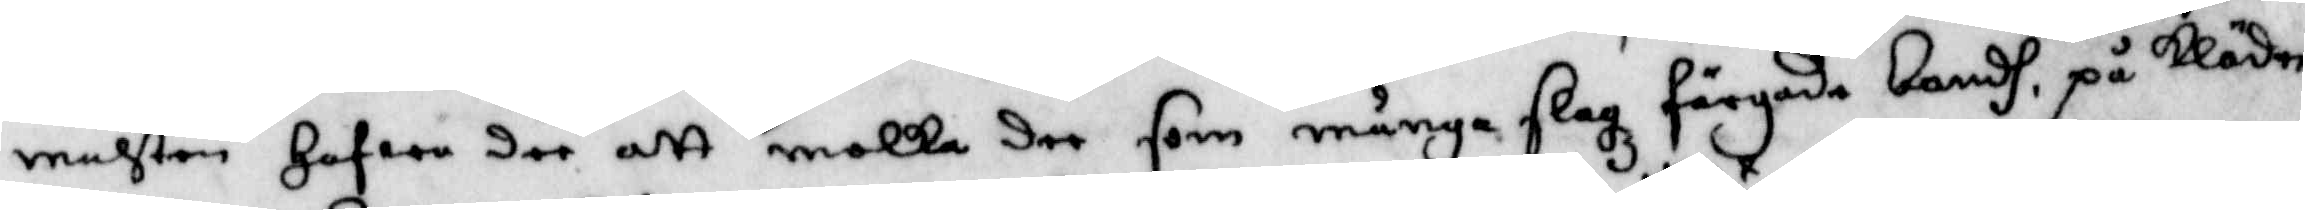muhsten Hafwa dee att molka dee som många slagz färgade bandh, på kläder¬
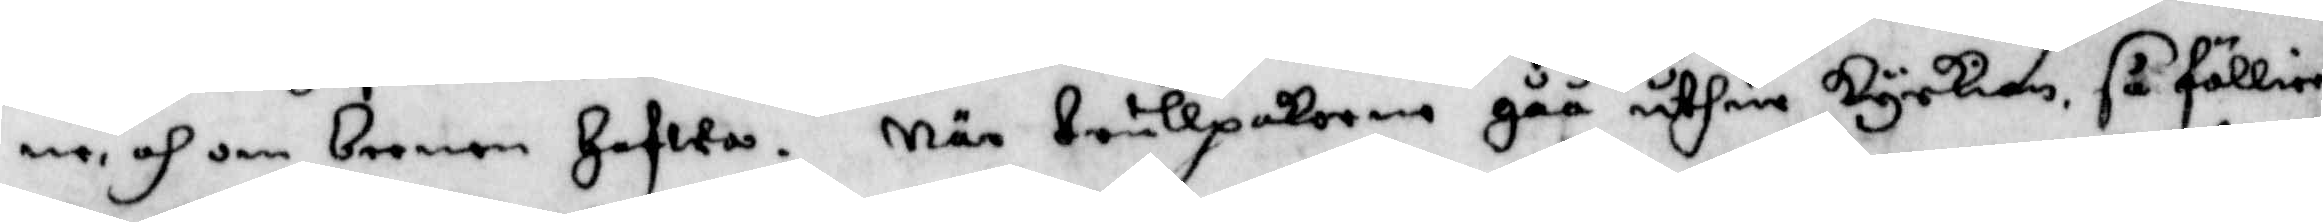ne, och om beenen Hafwa. När trullpackorna gåå uthur kyrkian så föllier
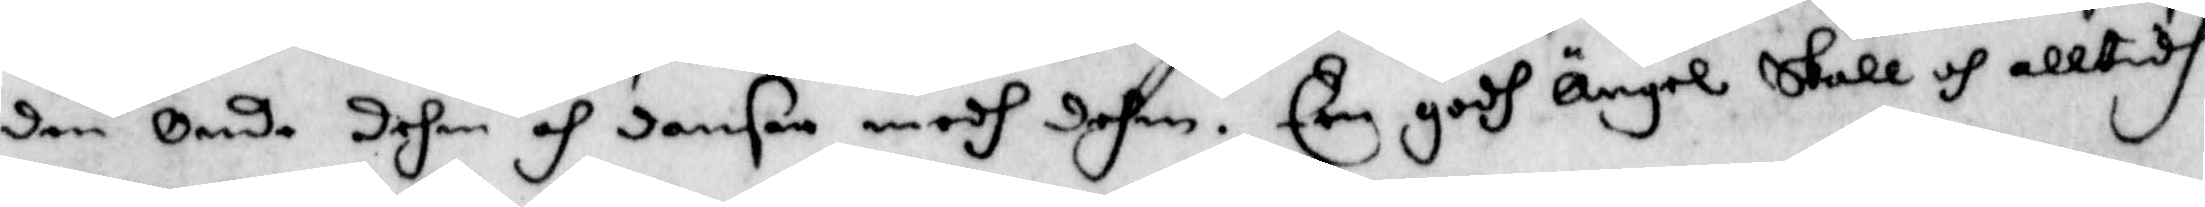den Onde dehm och dansar medh dehm. Een godh Ängel skall och alltidh
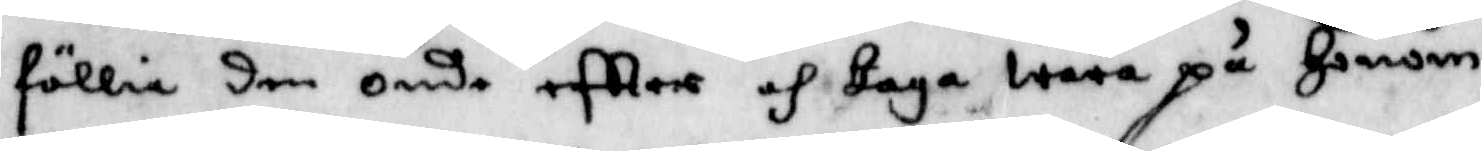föllia den Onde eftter och taga wara på Honom.
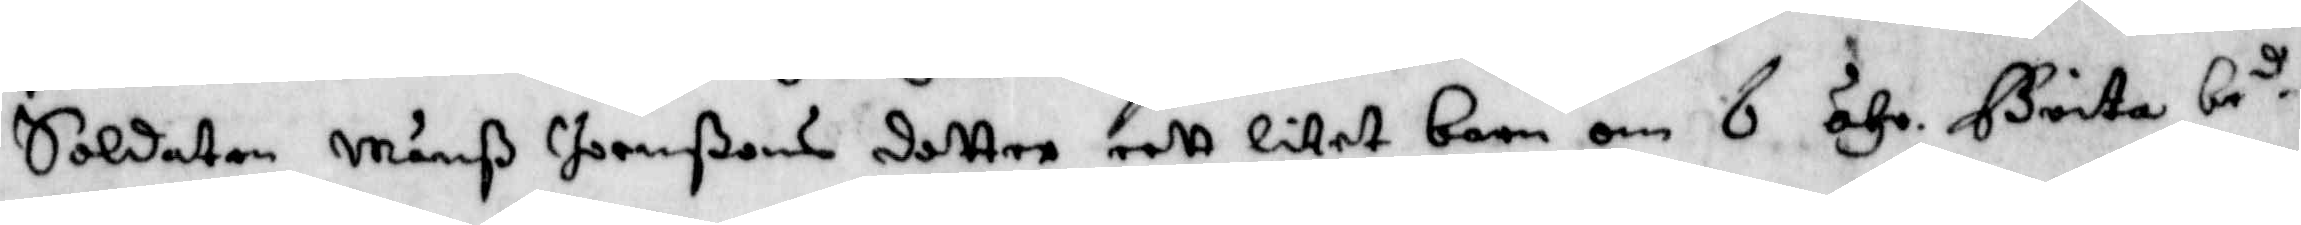Soldaten Månß Joenßons dotter eett litet barn om 6 åhr. Brita be.d
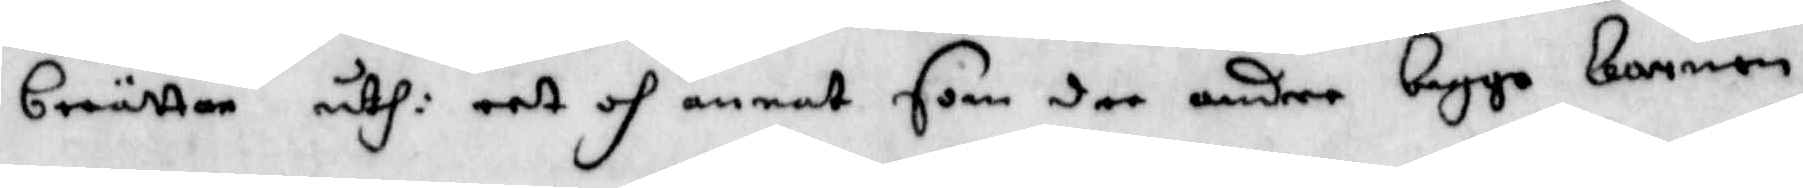berättar uthi eet och annat som dee andre begge barnen.
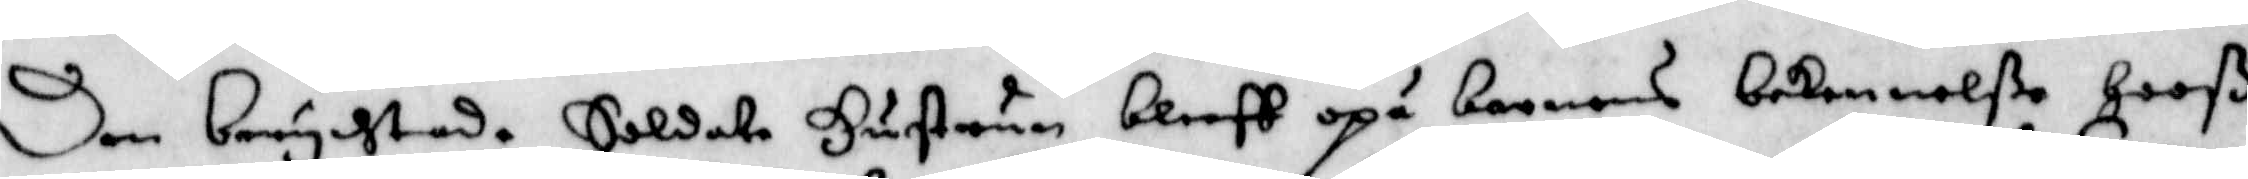Den berychtade Soldate Hustrun bleff opå barnens bekennelße Hooß
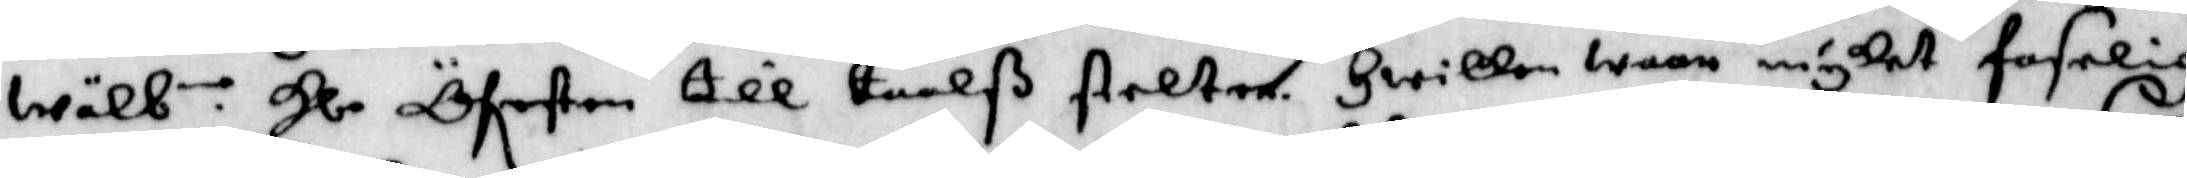wälb.n Hl. Öfersten till taalß stelter. Hwilken wore mycket faselig
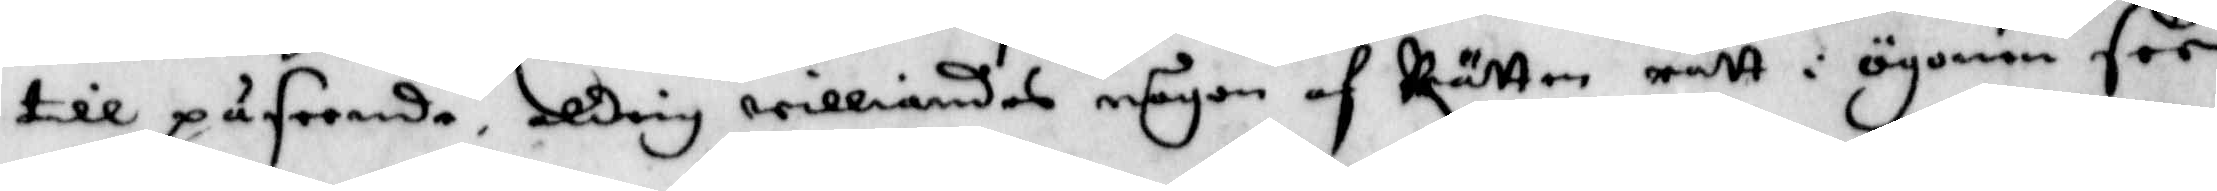till påseende, aldrig williandes någon af Rätten rätt i ögonen för
